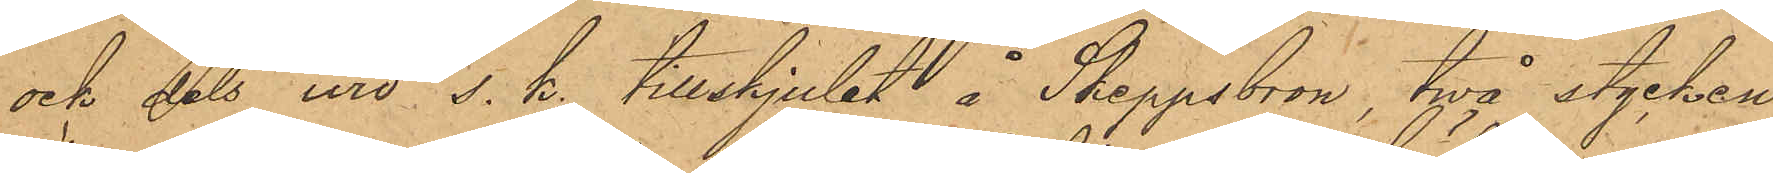och dels wid s.k. tillskjulet å Skeppsbron, twå stycken
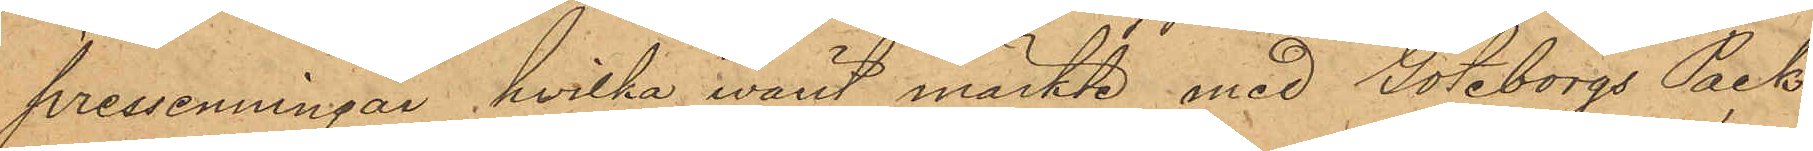pressenningar hvilka varit märkte med Göteborgs Pack¬
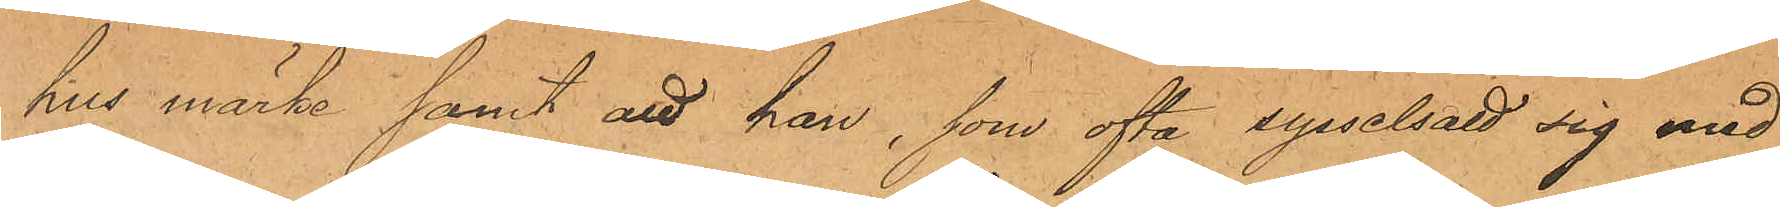hus märke samt att han, som ofta sysselsatt sig med
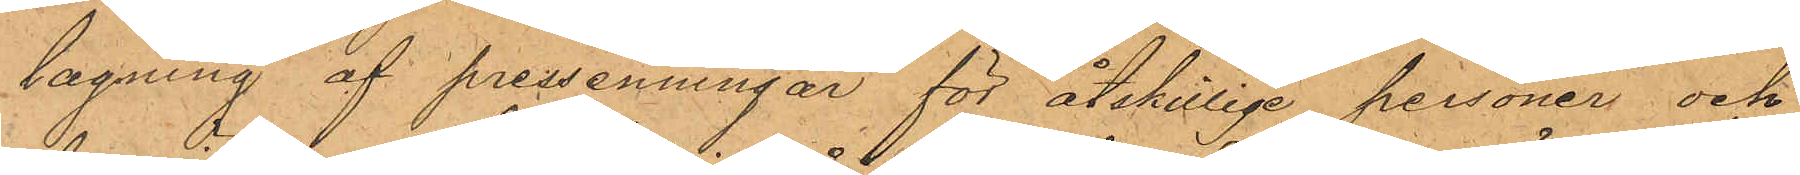lagning af pressenningar för åtskillige personer och
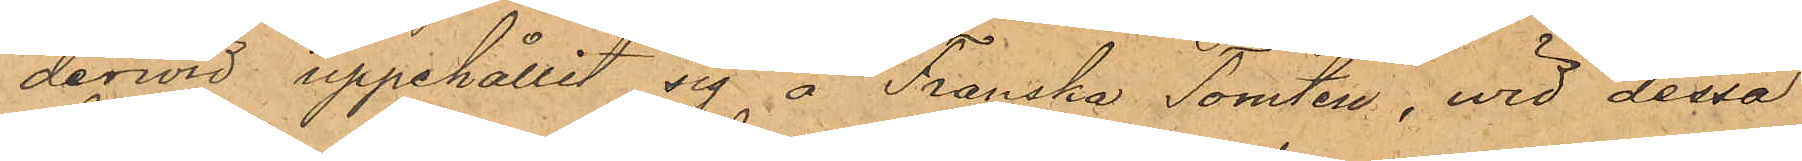dervid uppehållit sig å Franska Tomten, wid dessa
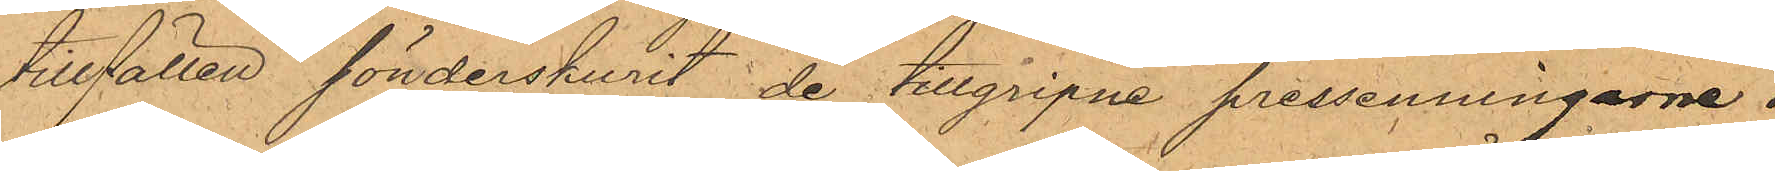tillfällen sönderskurit de tillgripne pressenningarne i
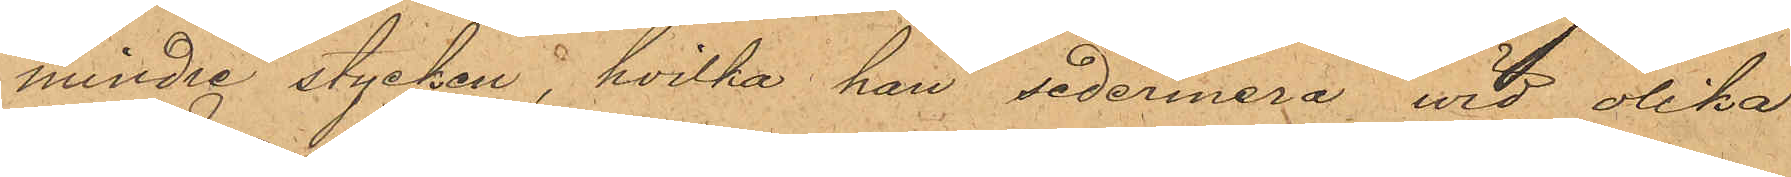mindre stycken, hvilka han sedermera, wid olika
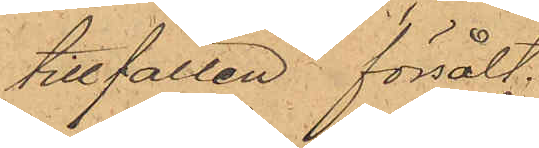tillfällen försålt.
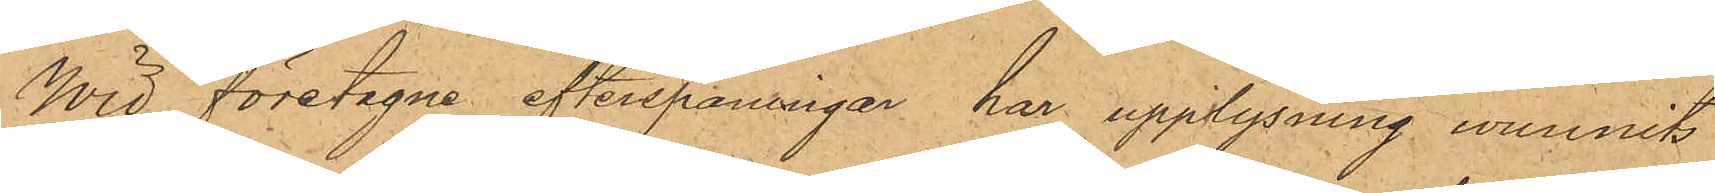Wid företagne efterspaningar har upplysning wunnits
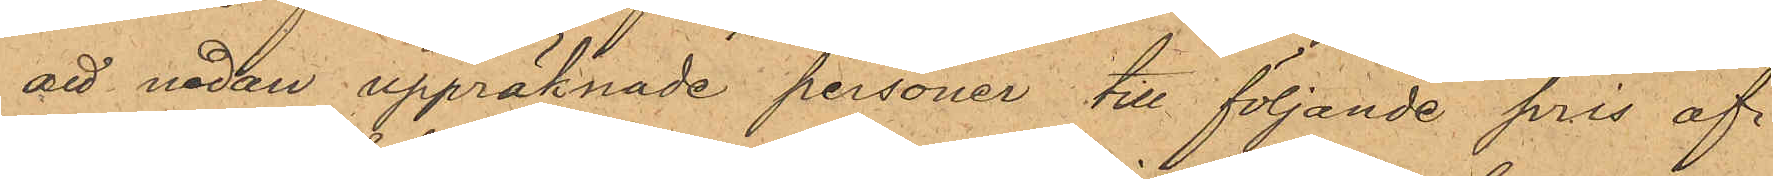att nedan uppräknade personer till följande pris af
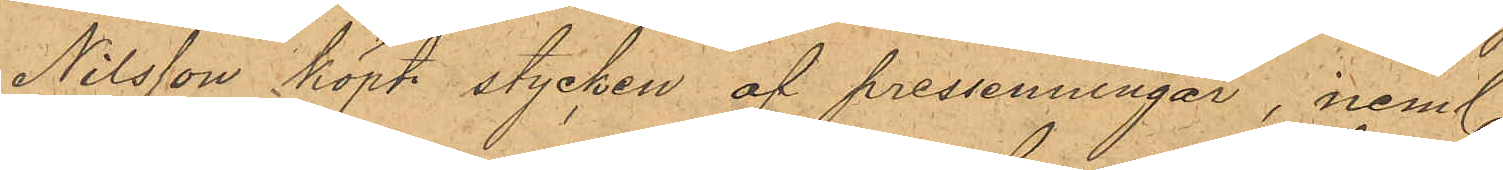Nilsson köpt stycken af pressenningar, neml.:
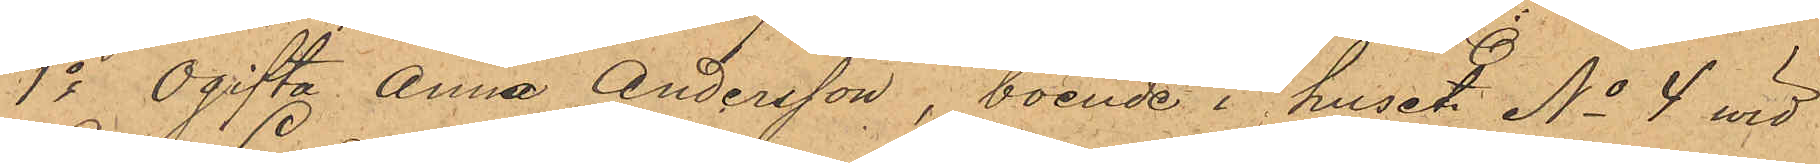1o ogifta Anna Andersson, boende i huset No 4 wid
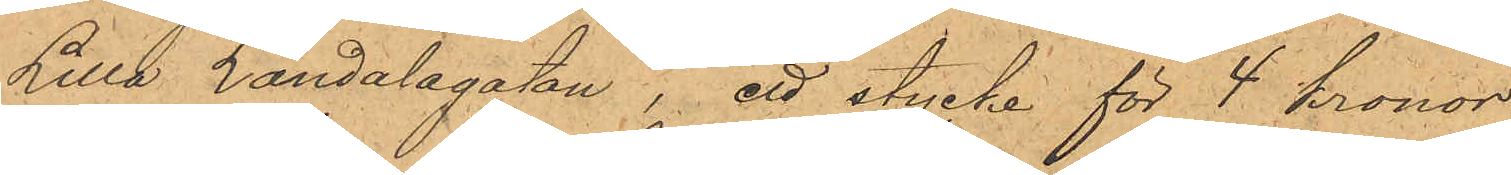Lilla Landalagatan , ett stycke för 4 kronor
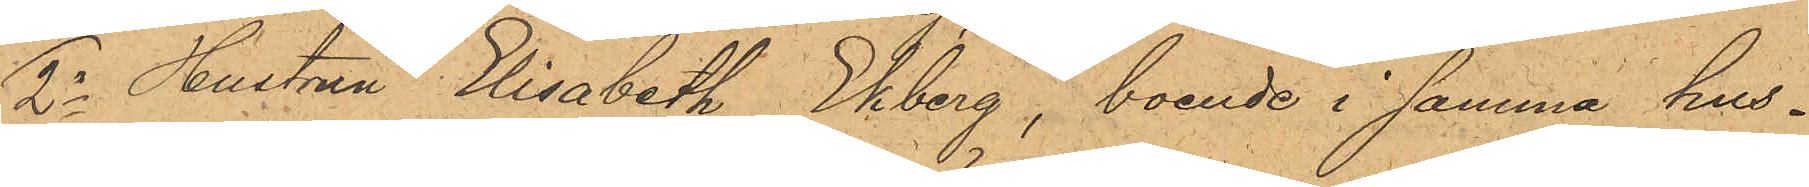2o Hustrun Elisabeth Ekberg, boende i samma hus -
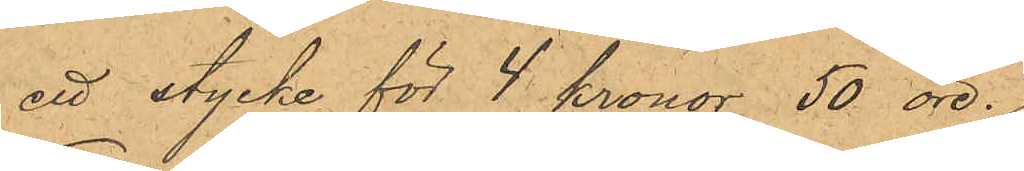ett stycke för 4 kronor 50 öre.
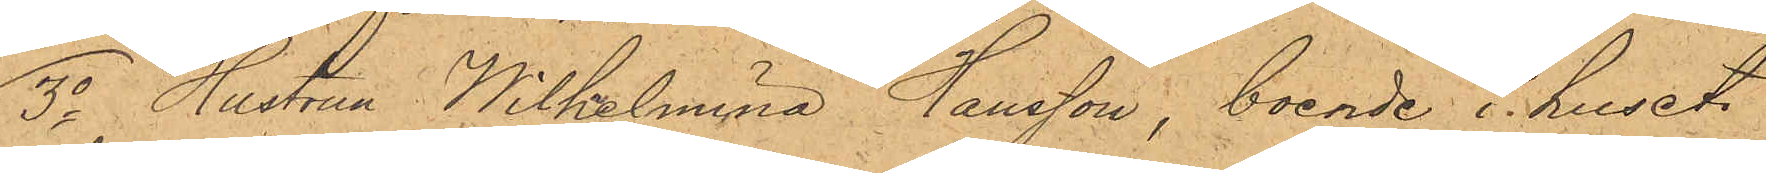3o Hustru Wilhelmina Hansson, boende i huset
